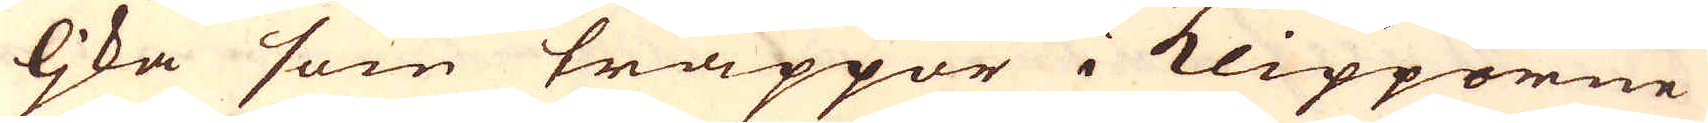ljka som trappor i Klipporne
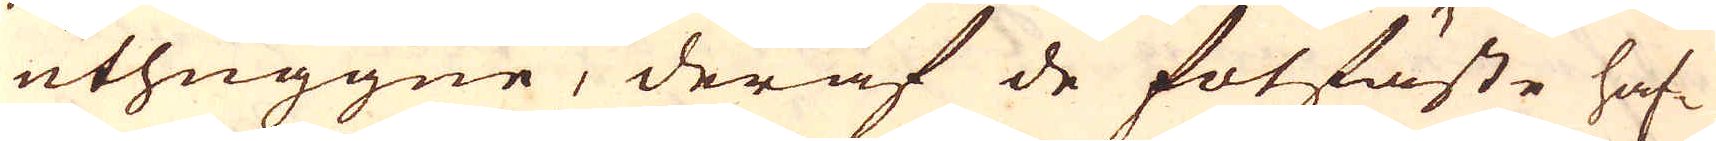uthuggne, deraf de fotfäste haf-
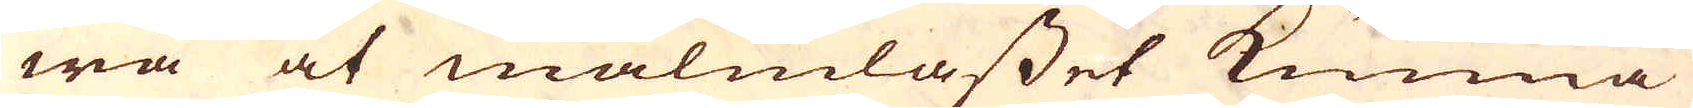wa at malmlasset kunna
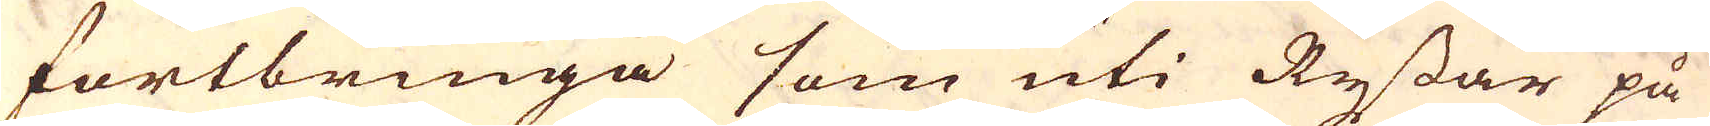fortbringa som uti Ryssar på
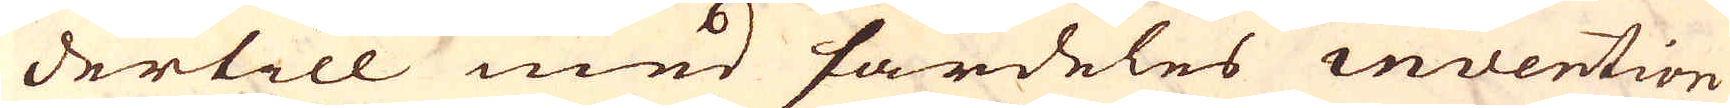dertill med särdeles invention
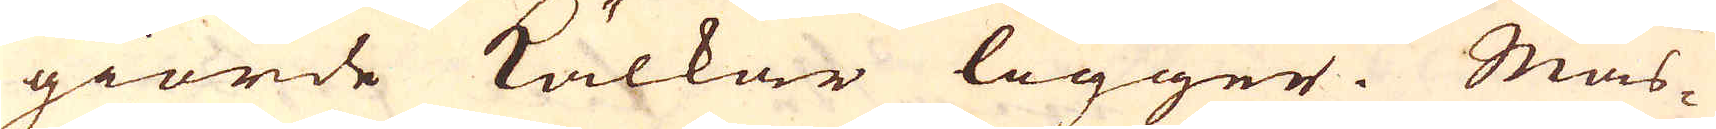giorde Kälkar ligger. Mas-
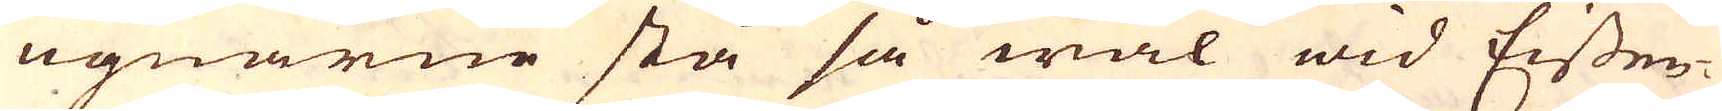ugnarne stå så wäl wid Eissen-
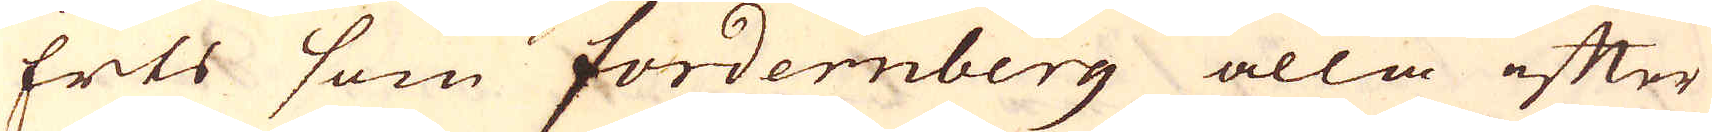Erts som Fordernberg alla efter
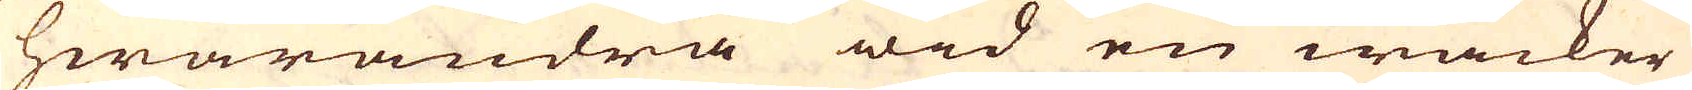hwarandra wid en wacker
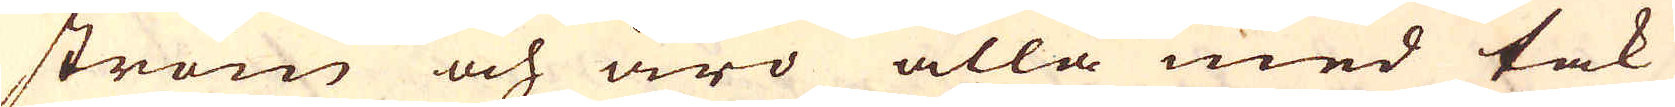ström och äro alla med tak
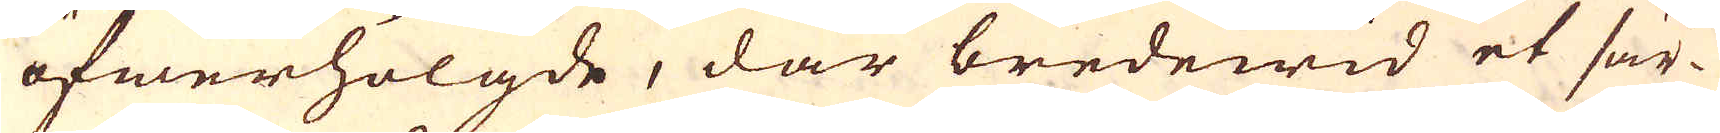öfwerhölgde, där bredewid et sär-
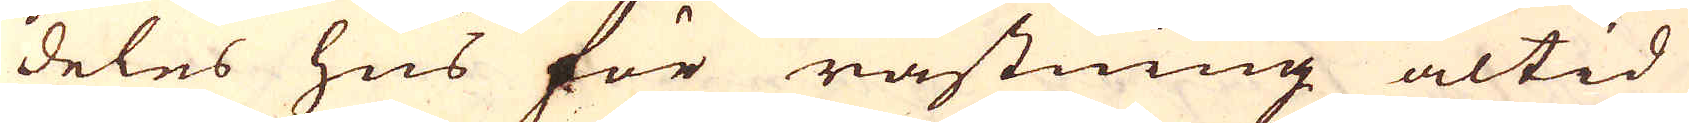deles hus för råstning altid
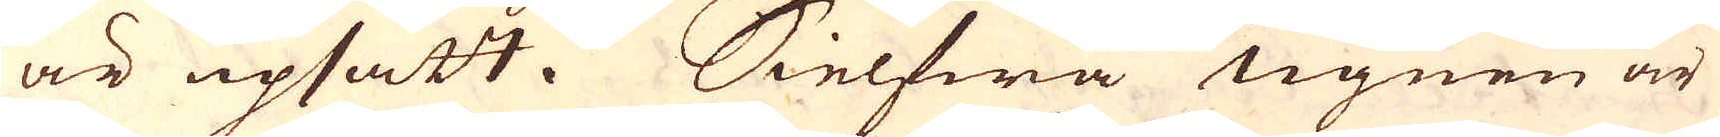är upsatt. Sielfwa ugnen är
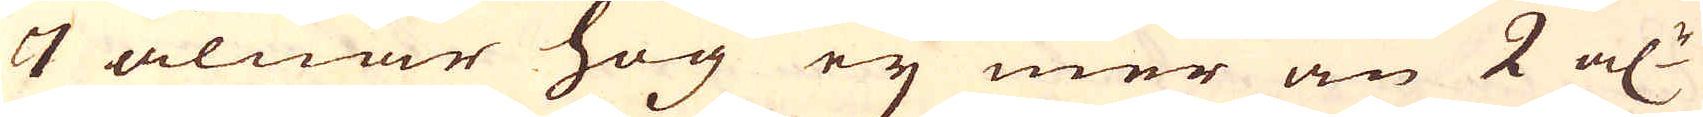7 alnar hög ej mer än 2 al:r
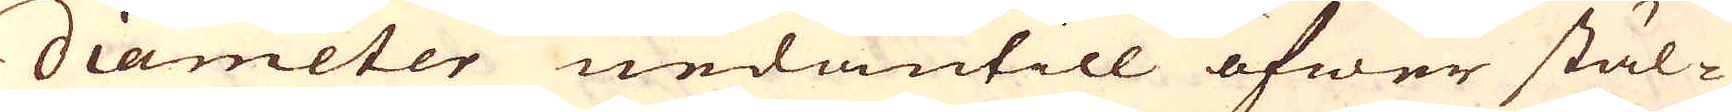diameter nedantill öfwer stäl-
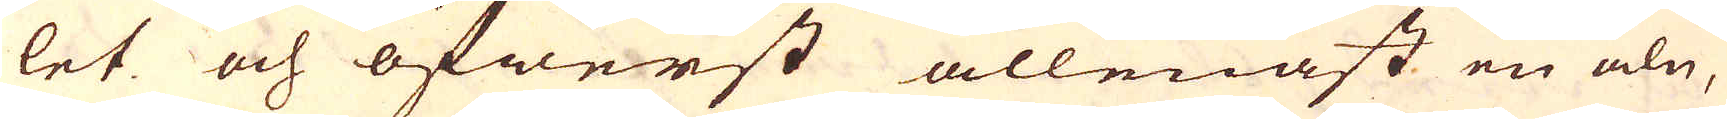let och öfwerst allenast en aln,
